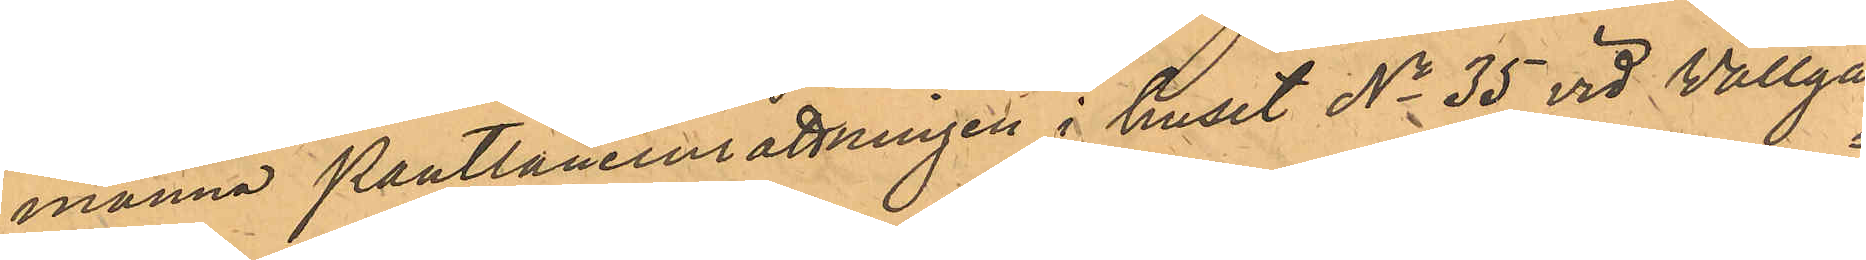männa Pantlåneinrättningen i huset No 35 vid Vallga¬
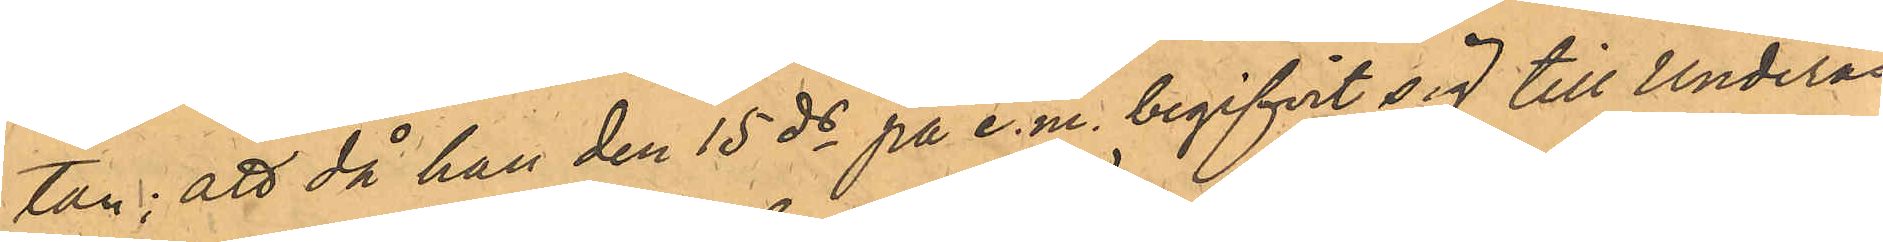tan; att då han den 15 ds på e.m. begifvit sig till Underås
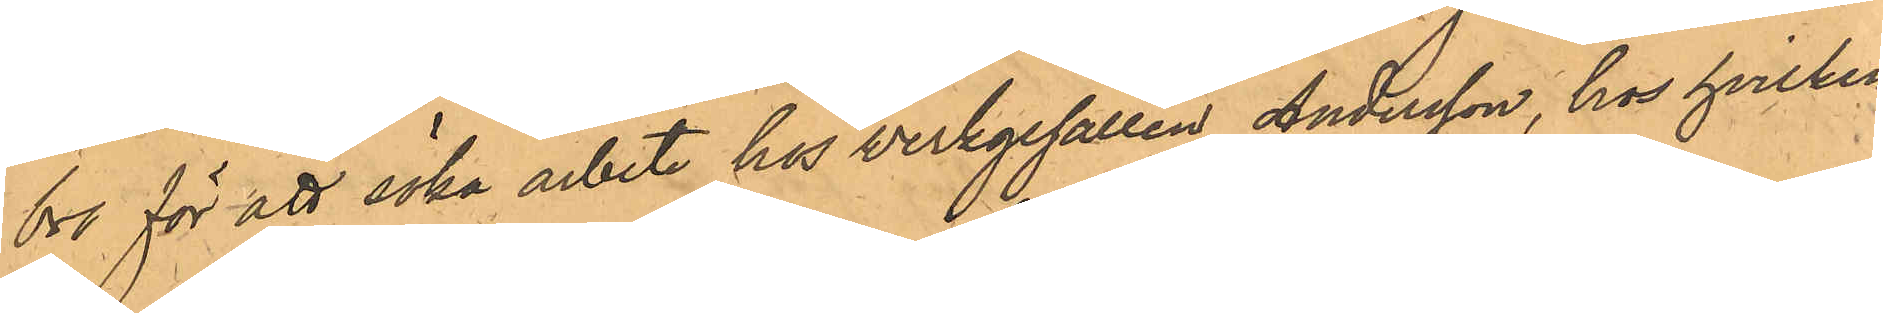bro för att söka arbete hos werkgesällen Andersson, hos hvilken
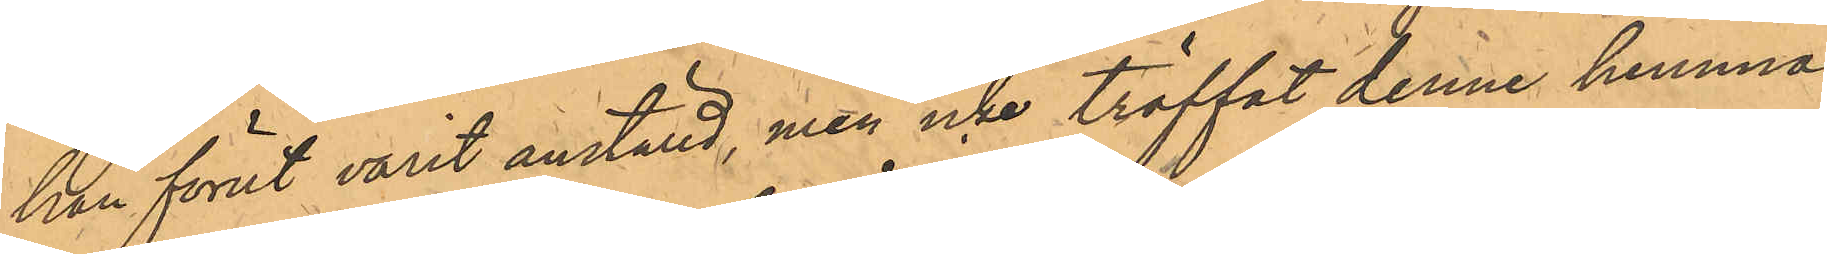han förut varit anställd, men icke träffat denne hemma,
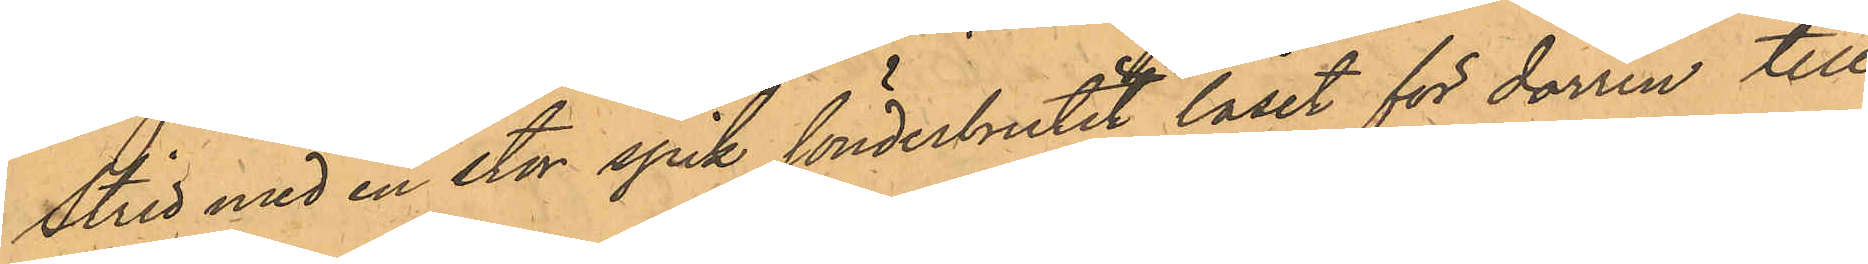Strid med en stor spik sönderbrutit låset för dörren till
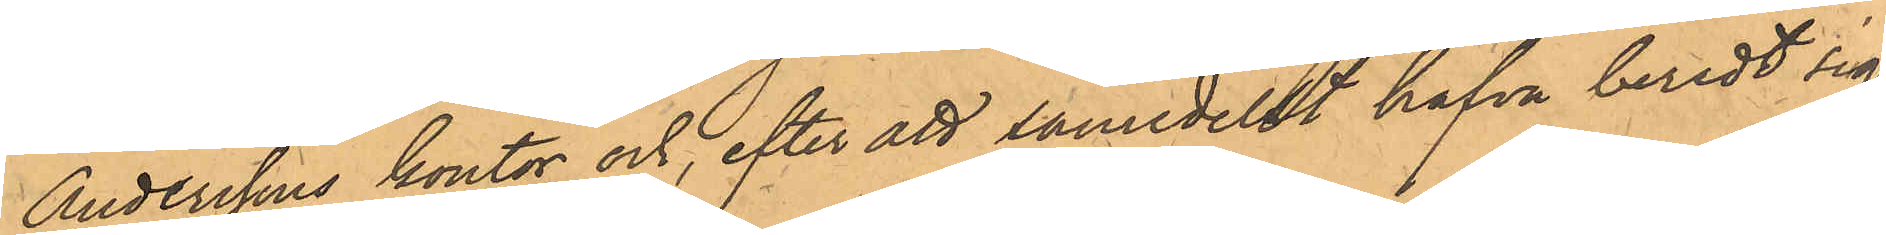Anderssons kontor och, efter att såmedelst hafva beredt sig
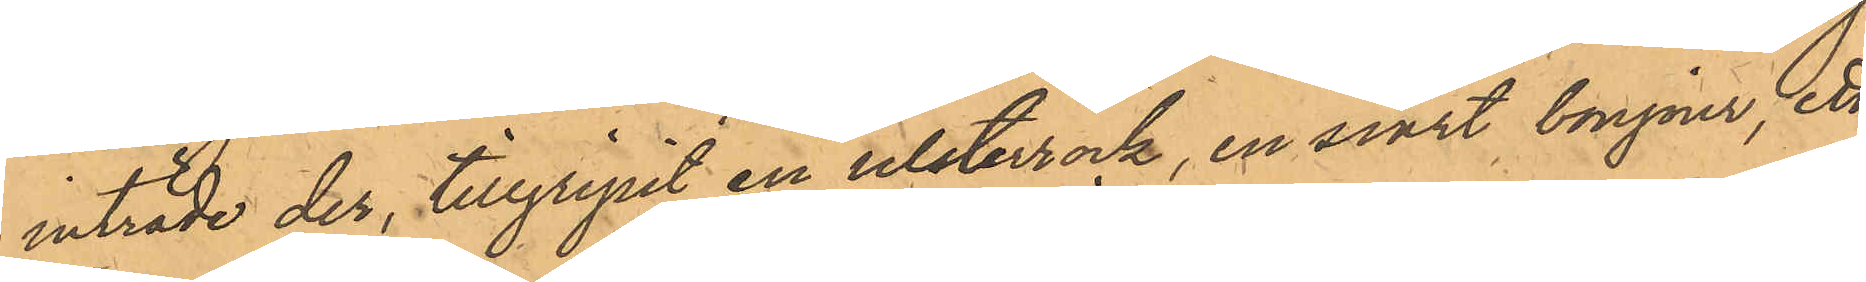inträde der, tillgripit en ulsterrock, en svart bonjour, ett
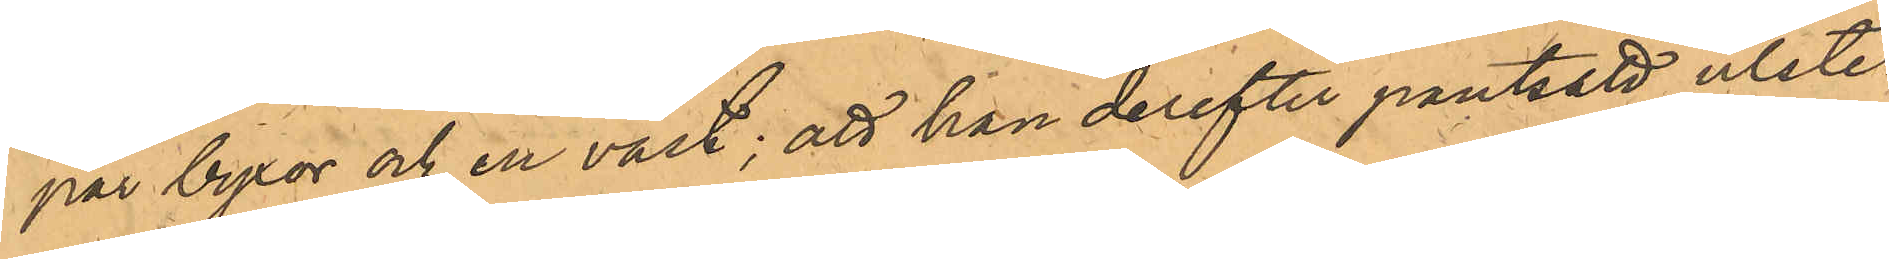par byxor och en väst; att han derefter pantsatt ulster¬
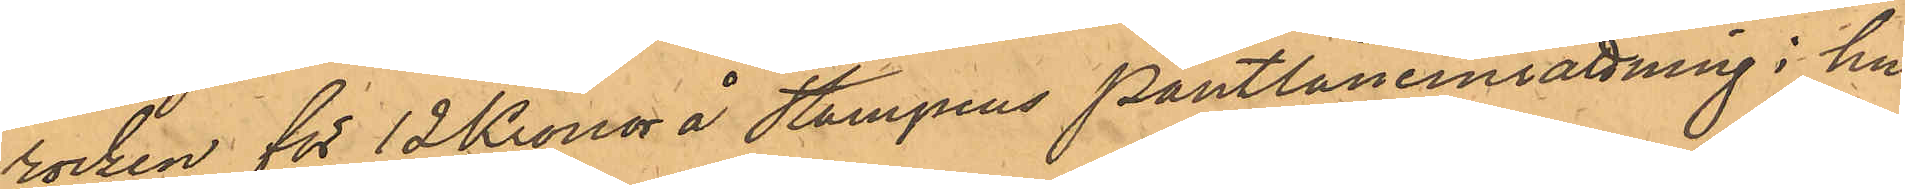rocken för 12 Kronor å Stampens Pantlåneinrättning i hu¬
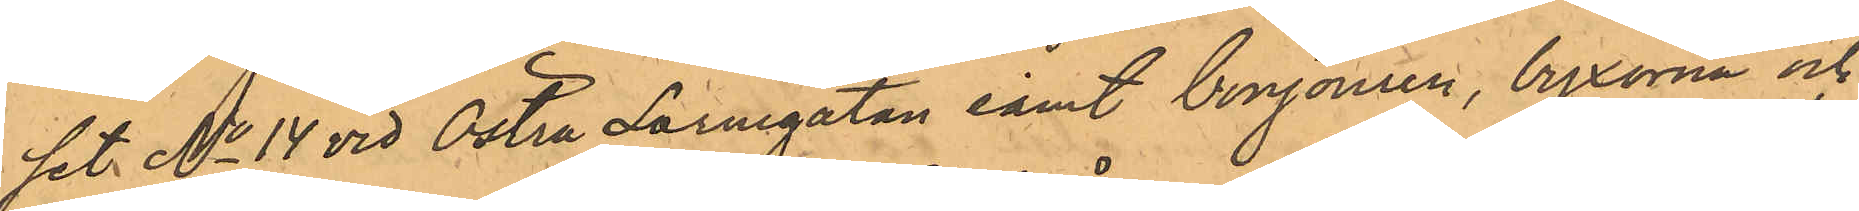set No 14 vid Östra Larmgatan samt bonjouren, byxorna och
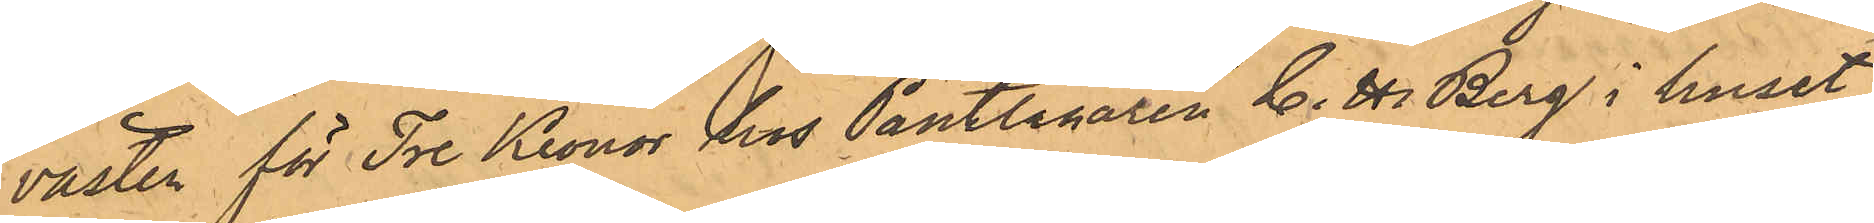västen för Tre Kronor hos Pantlånaren C. H. Berg i huset
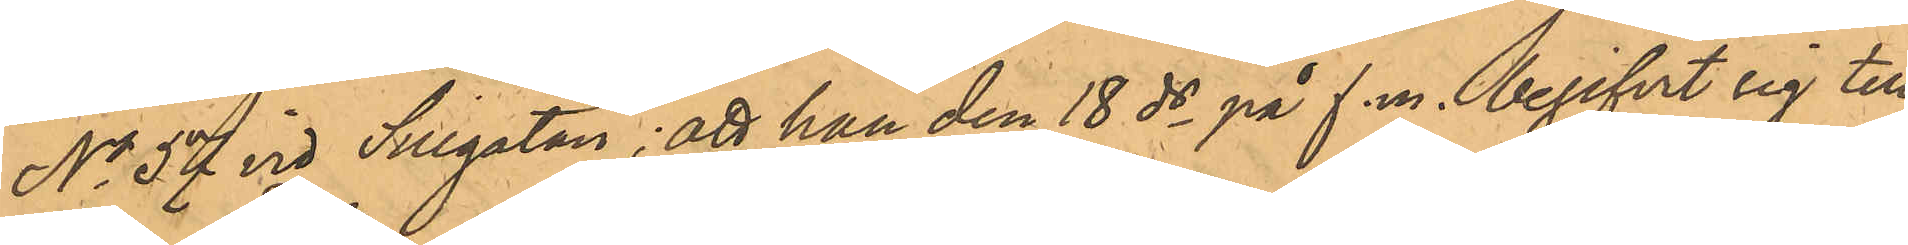No 57 vid Sillgatan; att han den 18 ds på f.m. begifvit sig till
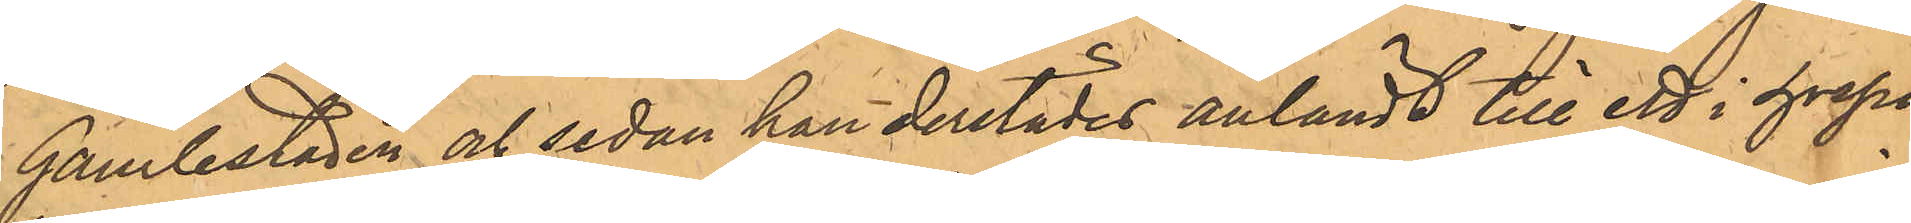Gamlestaden och sedan han derstädes anländt till ett i hospi¬
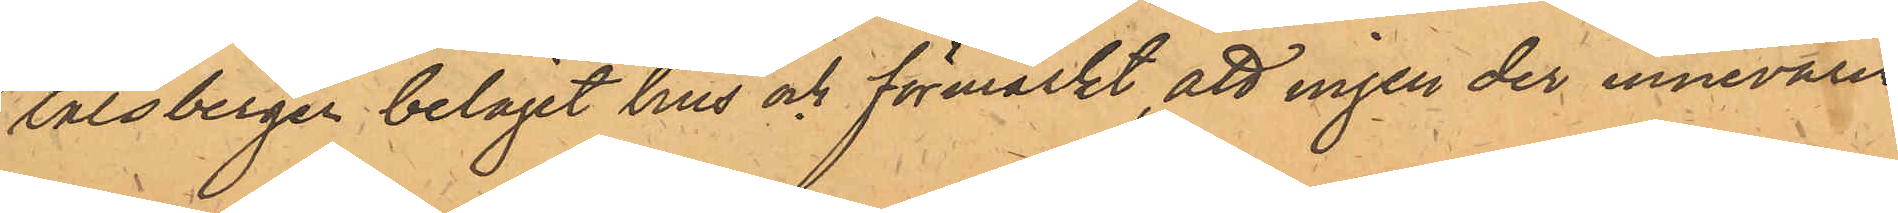talsbergen beläget hus och förmärkt att ingen der innevarit,
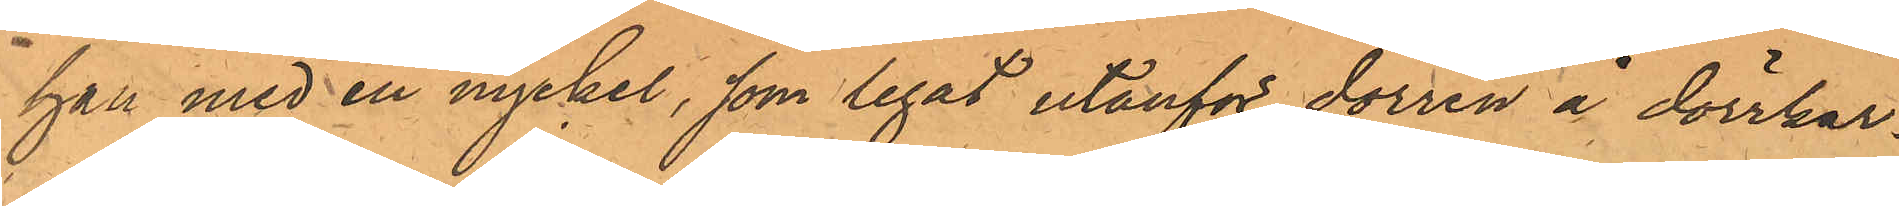han med en nyckel, som legat utanför dörren å dörrkar¬
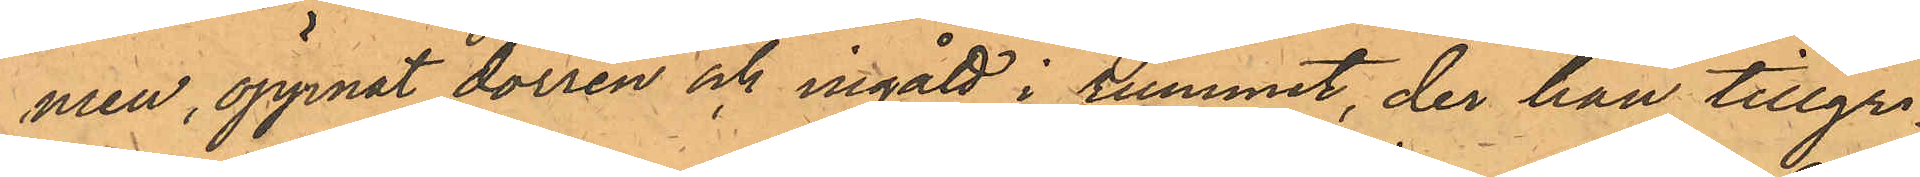men, öppnat dörren och ingått i rummet, der han tillgri¬
